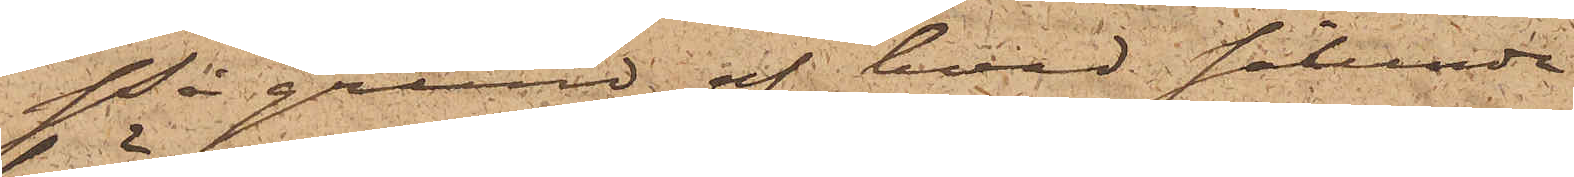På grund af hvad sålunda
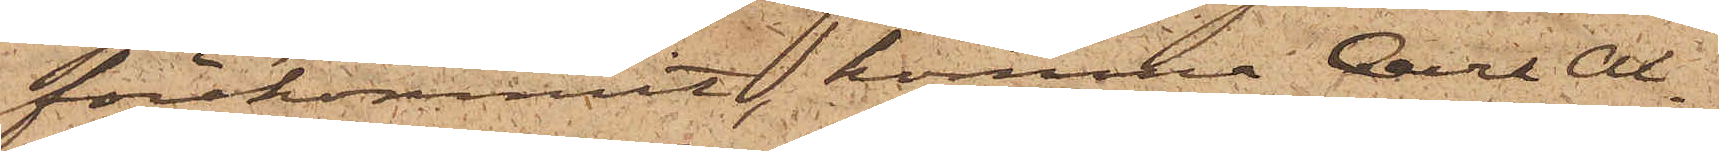förekommit, komma Carl Al¬
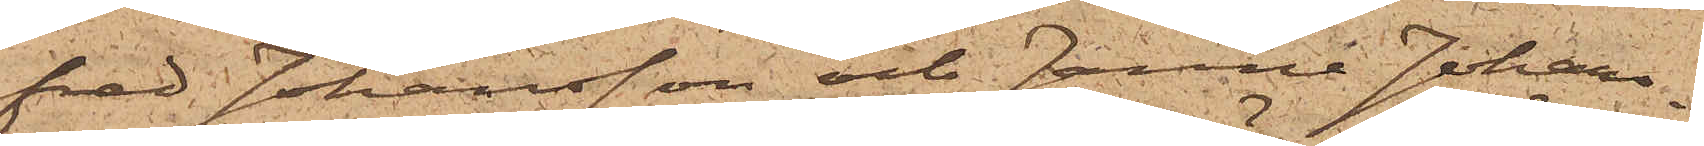fred Johansson och Janne Johans¬
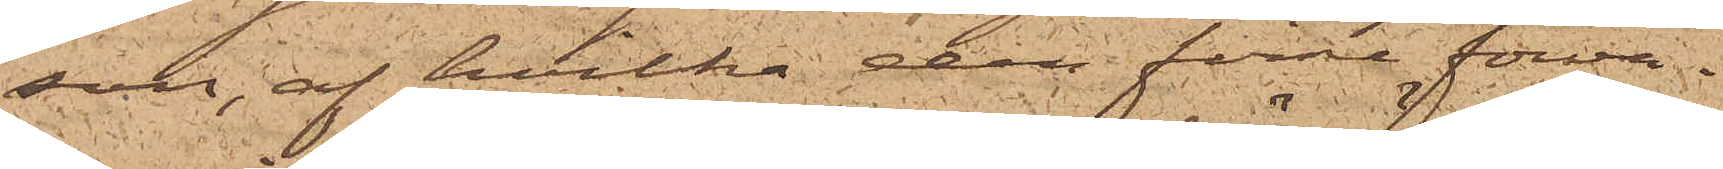son, af hvilka den förre förva¬
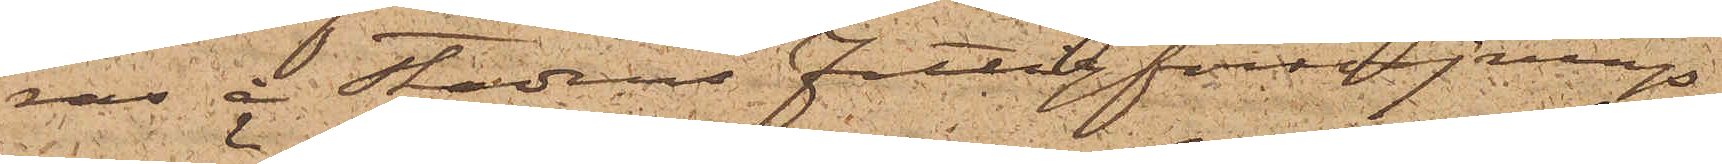ras å Stadens Fattigförsörjnings¬
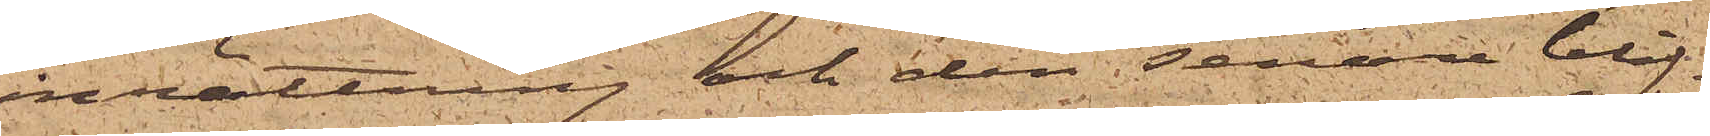inrättning och den senare blif¬
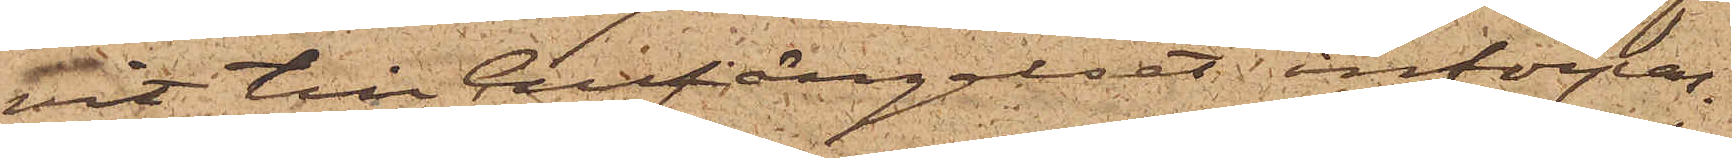vit till Cellfängelset införpas¬
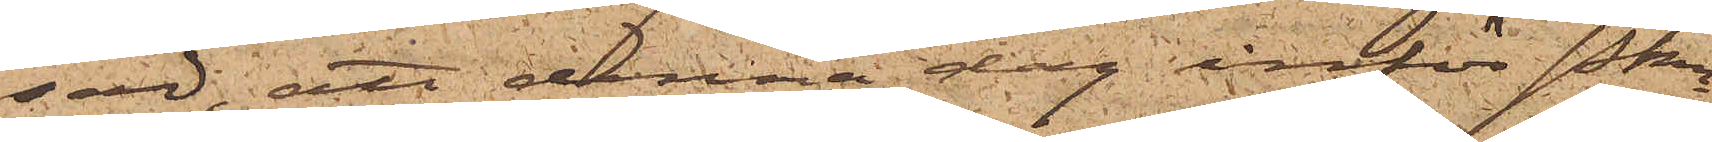sad; att denna dag inför Pkn
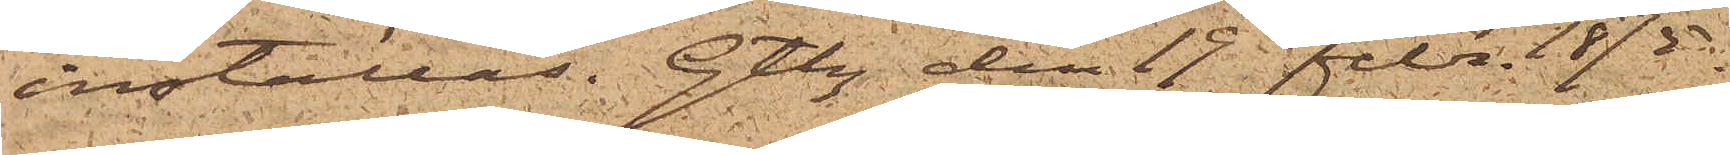inställas. Gtbg den 19 Febr. 1875.
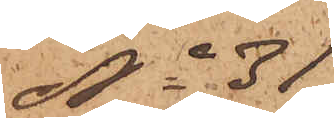No 31
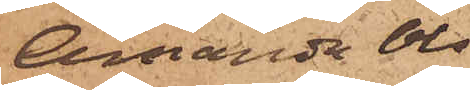Amanda Ols¬
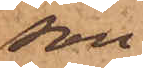son
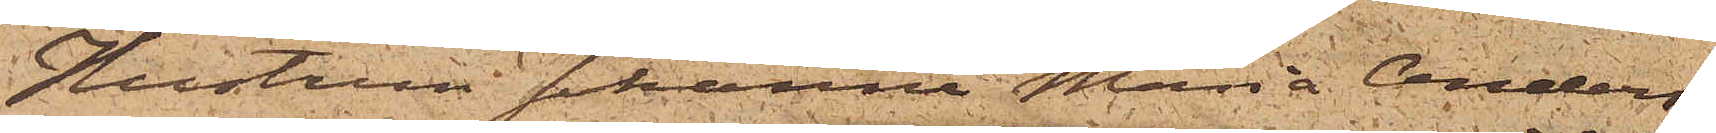Hustrun Johanna Maria Anders¬
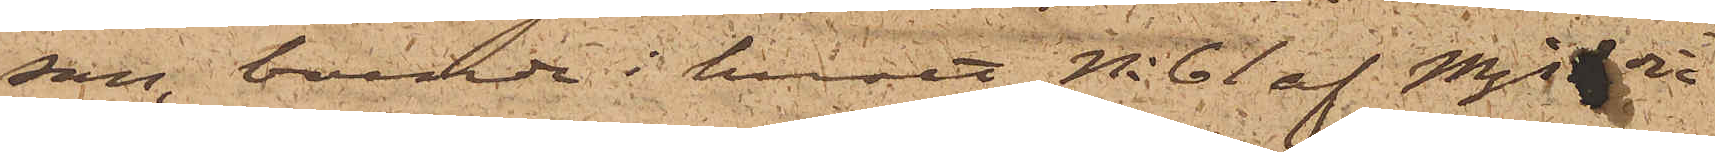son, boende i huset No 61 af Mjs 3dje
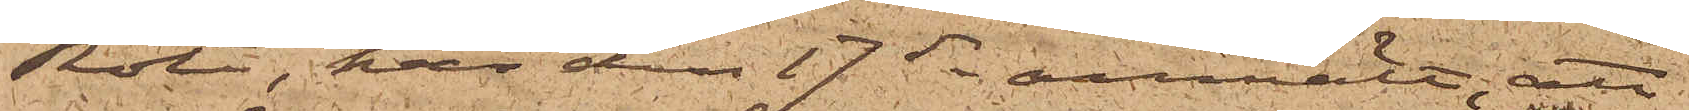Rote, har den 17 ds anmält; att
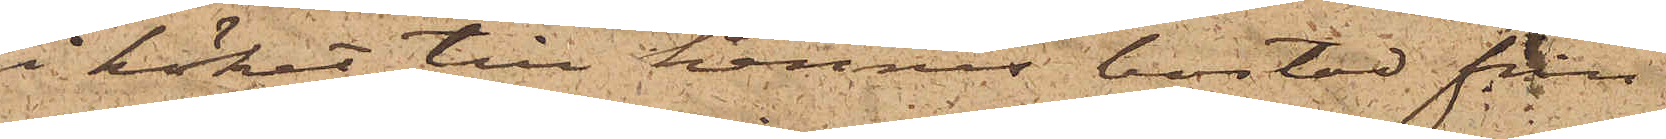i köket till hennes bostad från
